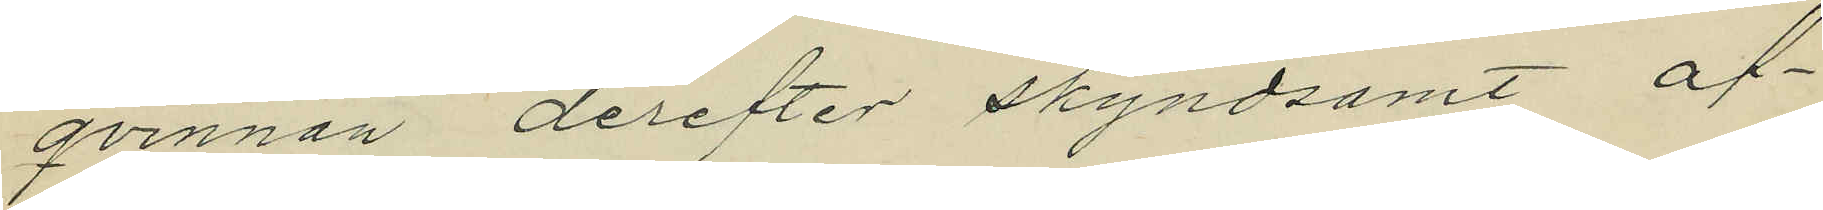qvinnan derefter skyndsamt af¬
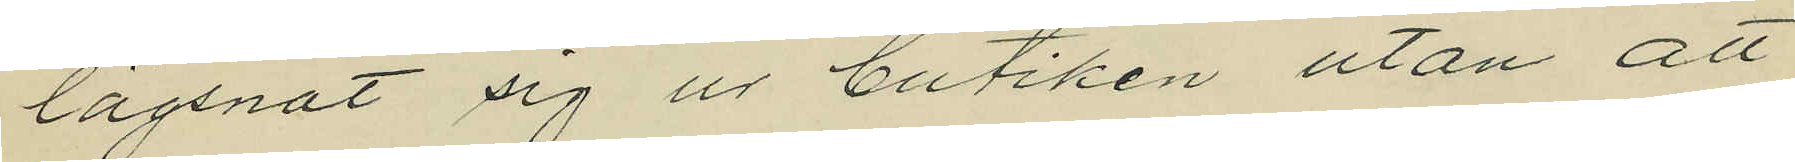lägsnat sig ur butiken utan att
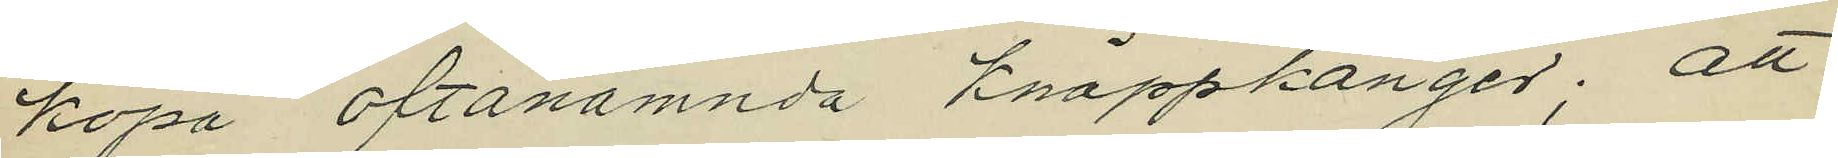köpa oftanämnda knäppkänger; att
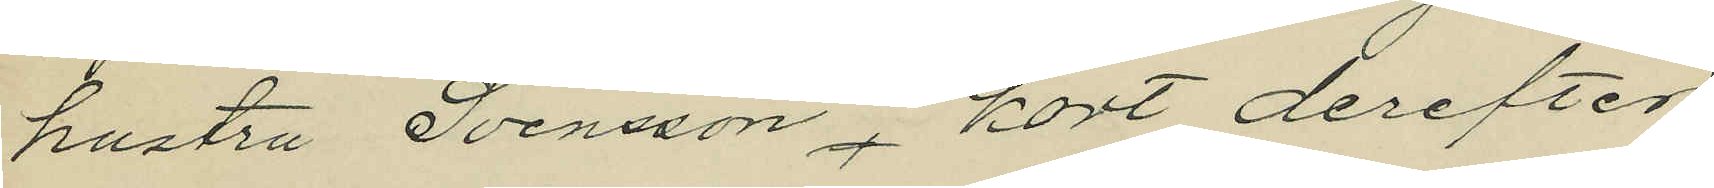hustru Svensson, kort derefter
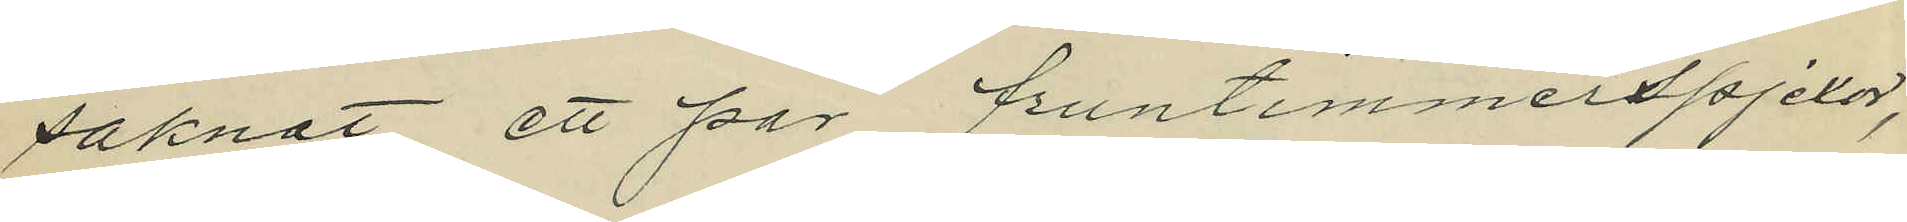saknat ett par fruntimmerspjexor,
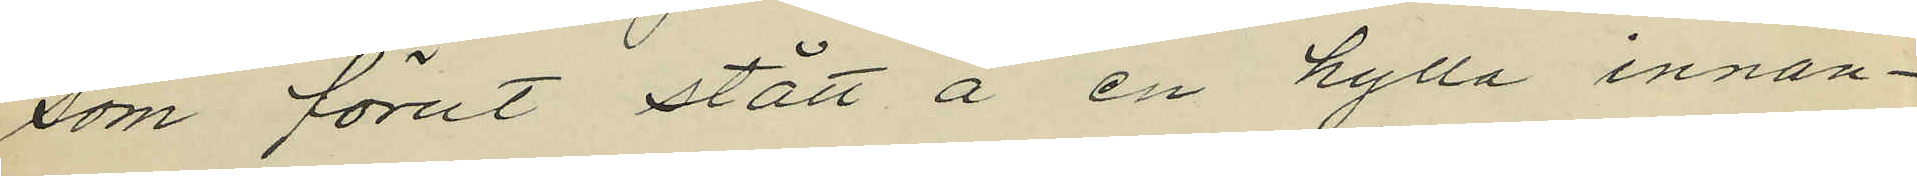som förut stått å en hylla innan¬
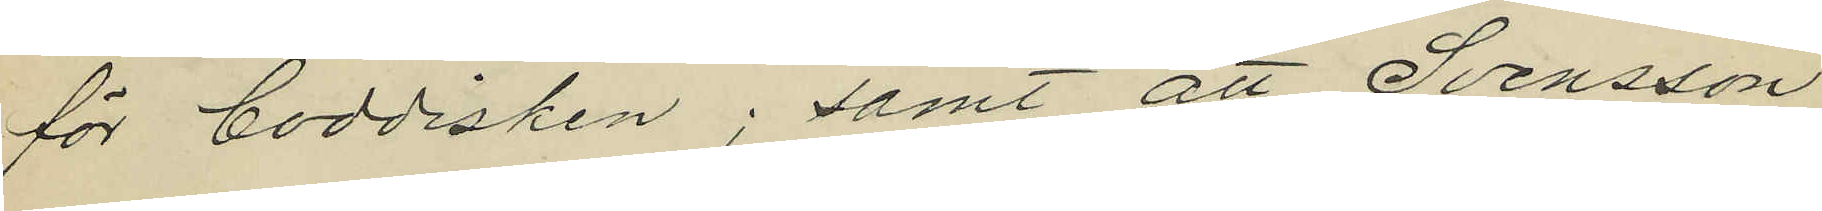för boddisken; samt att Svensson
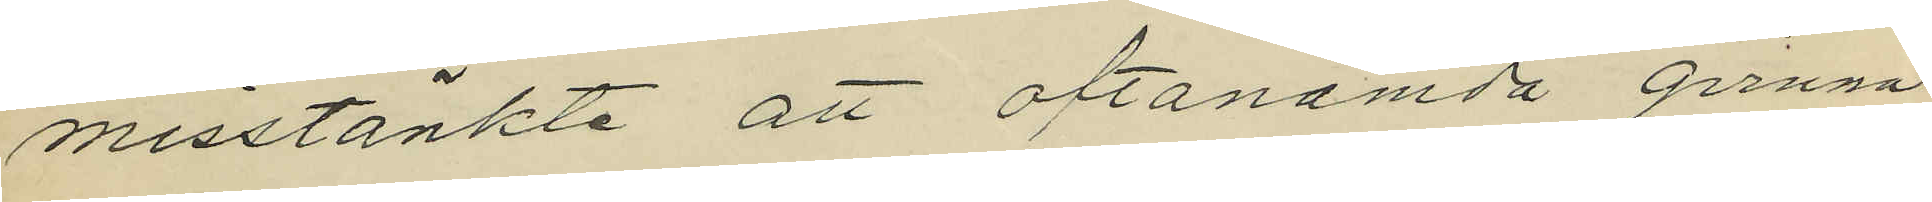misstänkte att oftanämda qvinna
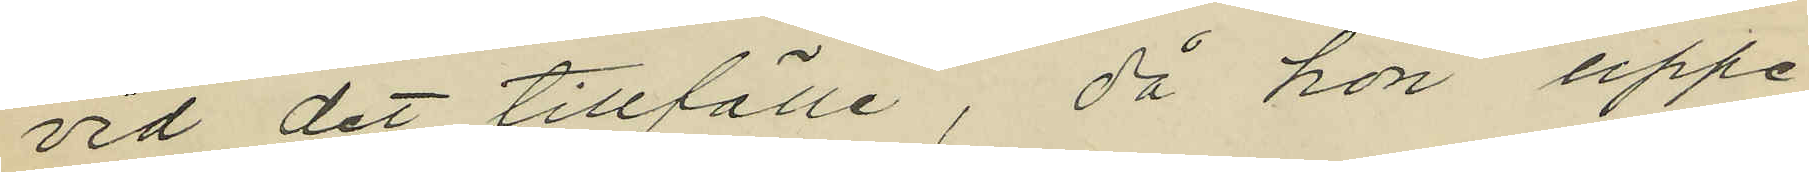vid det tillfälle, då hon uppe¬
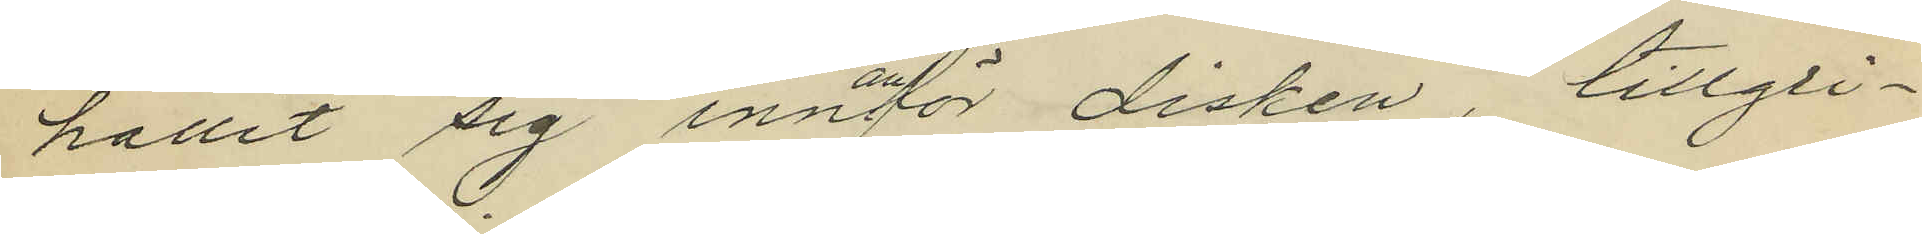hållit sig innanför disken, tillgri¬
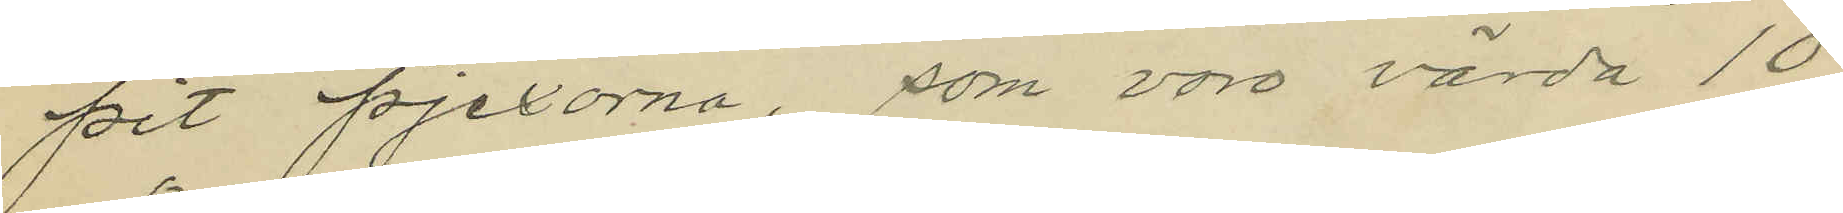pit pjexorna, som voro värda 10
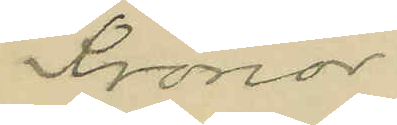Kronor.
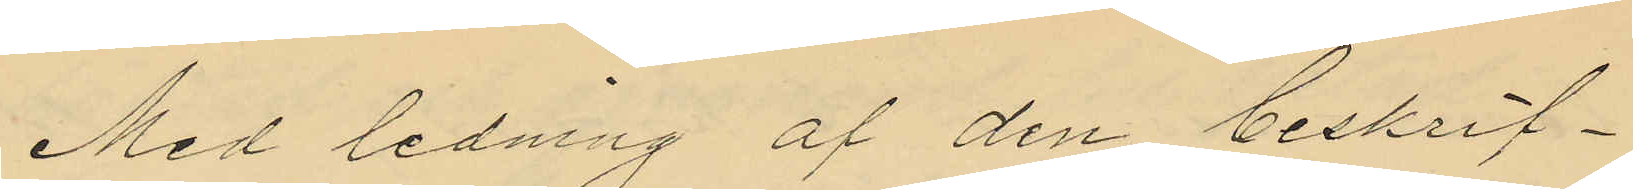Med ledning af den beskrif¬
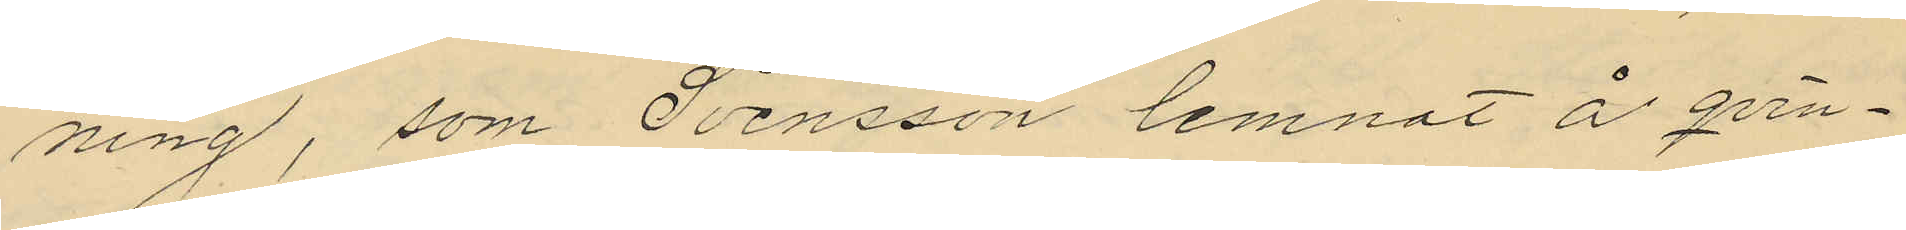ning, som Svensson lemnat å qvin¬
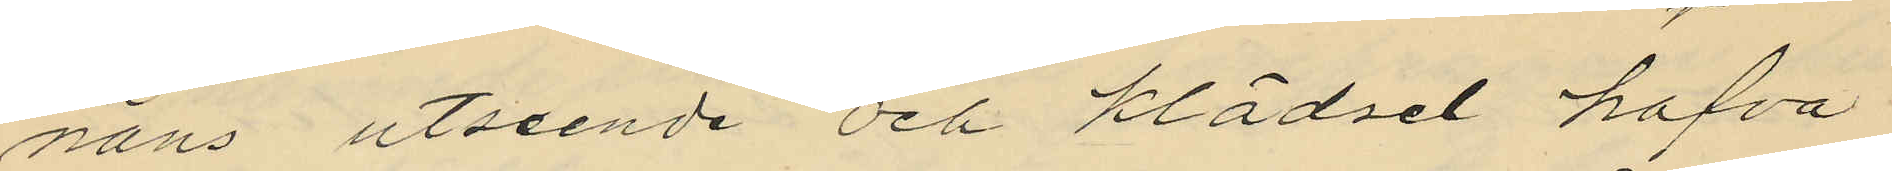nans utseende och klädsel hafva
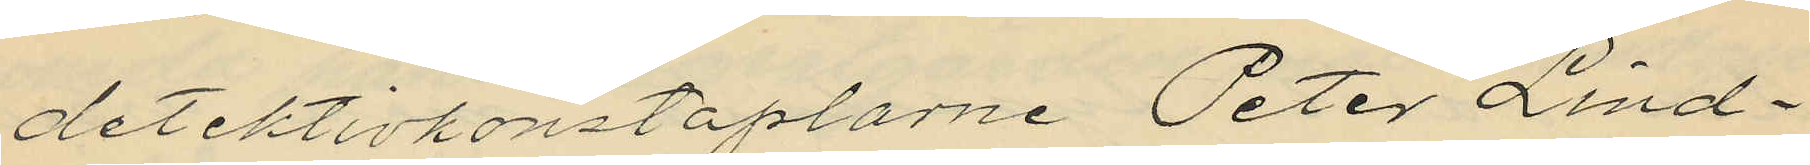detektivkonstaplarne Peter Lind¬
